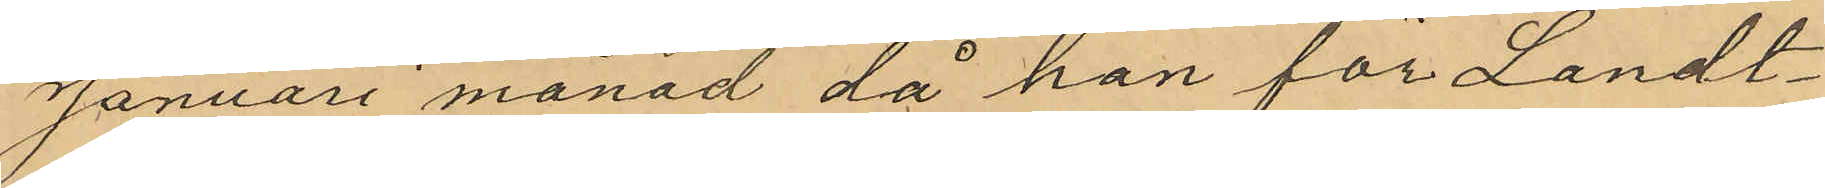Januari månad då han för Landt¬
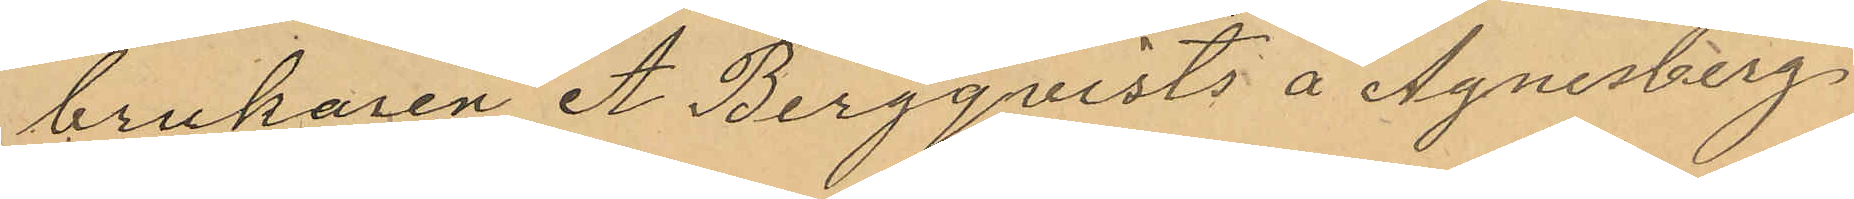brukaren A. Bergquists å Agnesberg
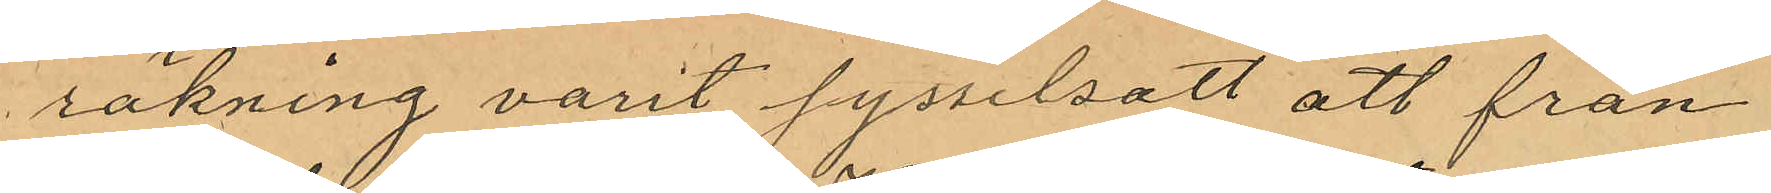räkning varit sysselsatt att från
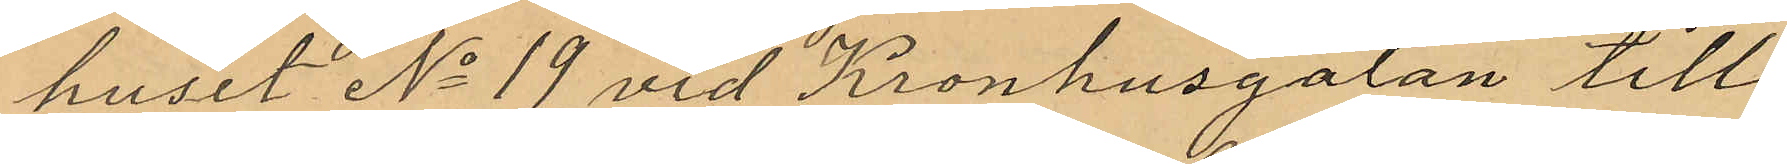huset No 19 vid Kronhusgatan till
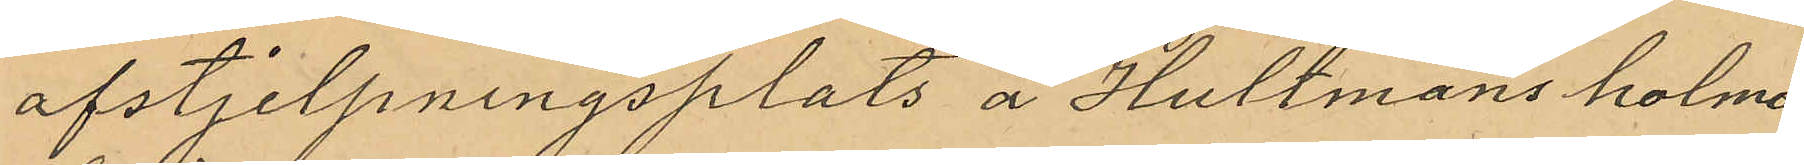afstjelpningsplats å Hultmans holme
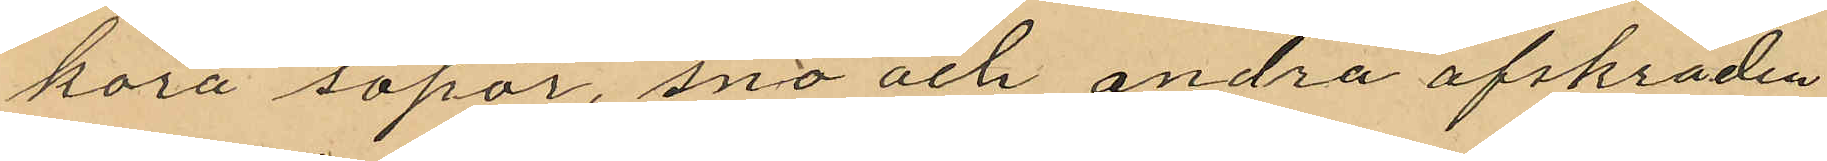köra sopor, snö och andra afskräden
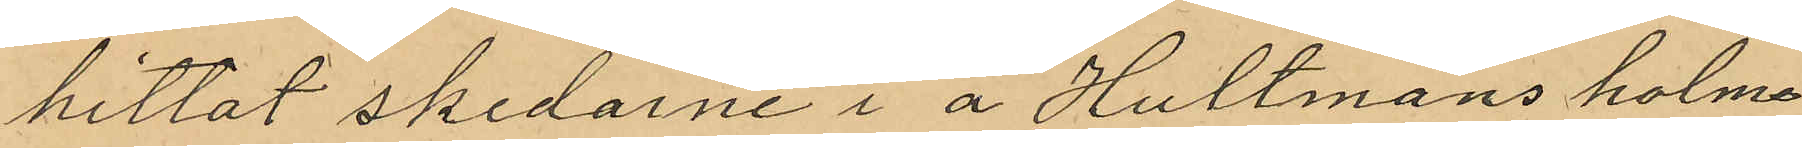hittat skedarne i å Hultmans holme
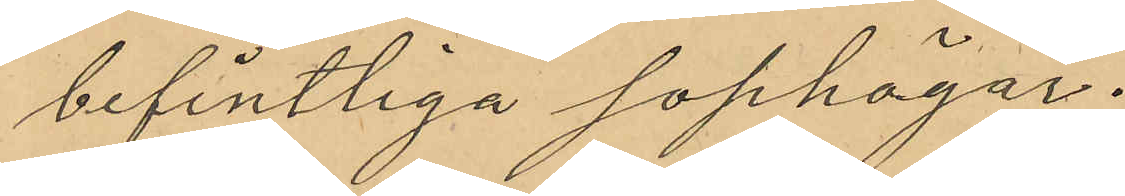befintliga sophögar.
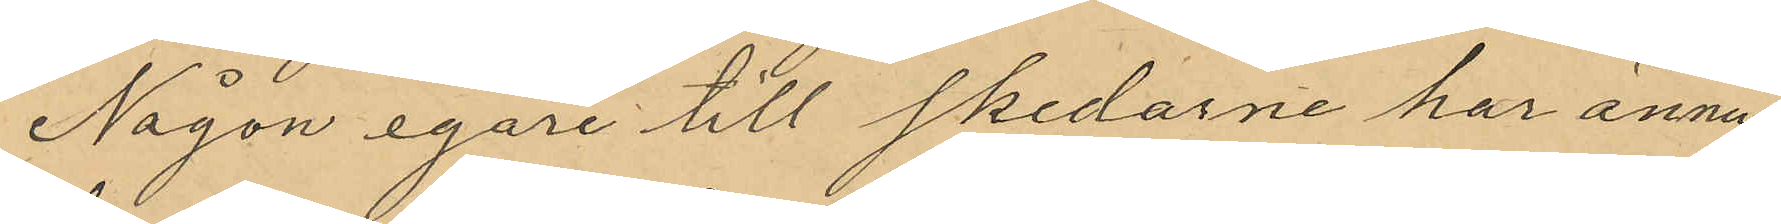Någon egare till skedarne har ännu
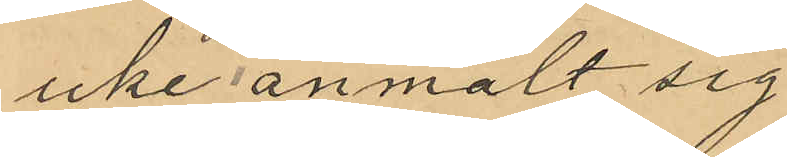icke anmält sig
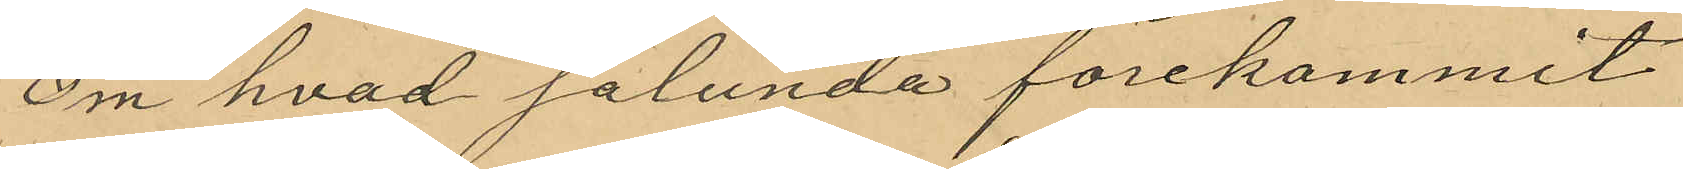Om hvad sålunda förekommit
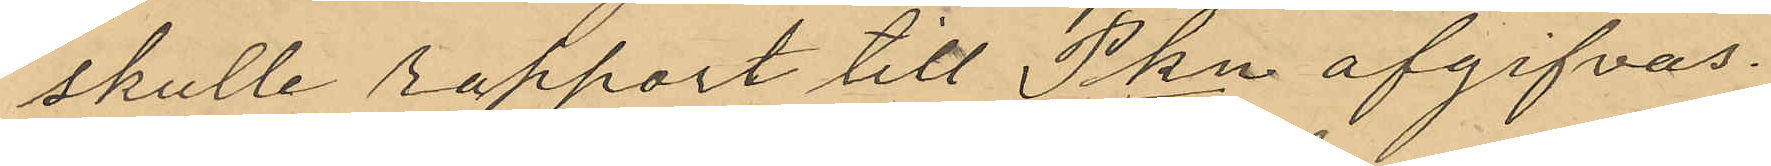skulle rapport till Pkn afgifvas.
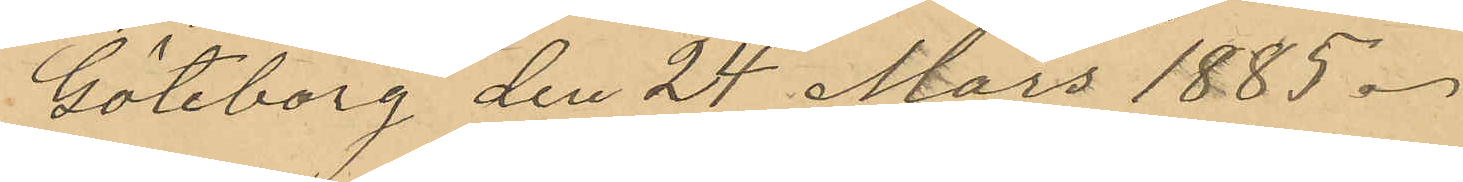Göteborg den 24 Mars 1885.
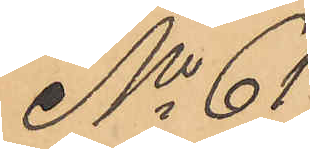No 61
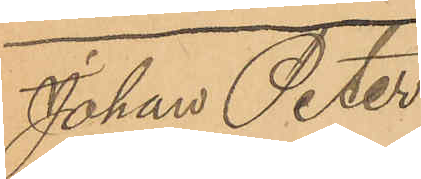Johan Peter
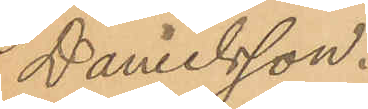Danielsson.
